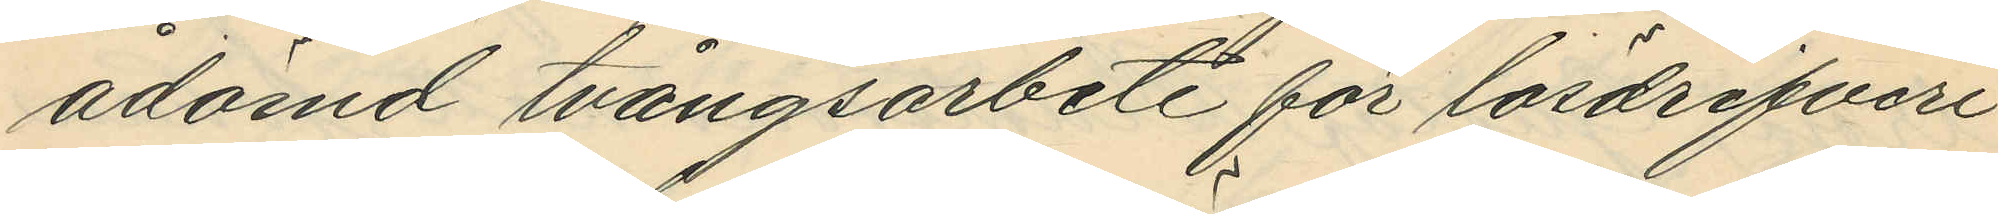ådömd tvångsarbete för lösdrifveri
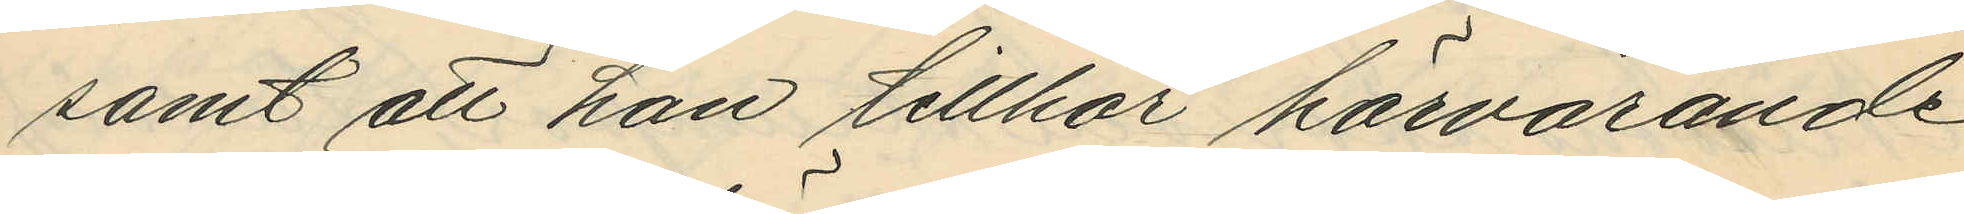samt att han tillhör härvarande
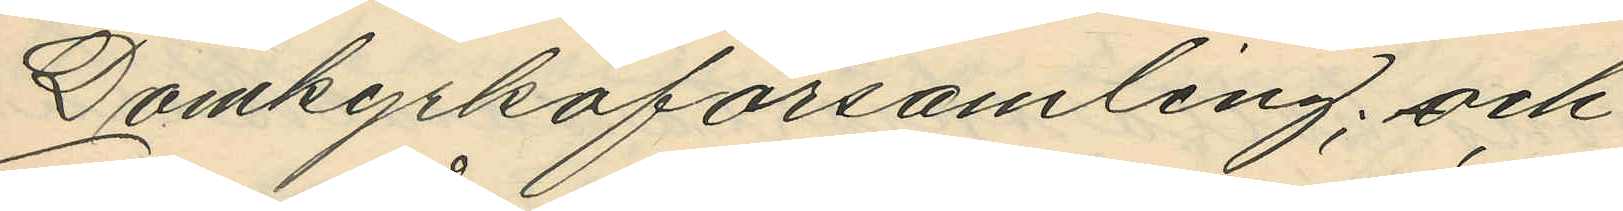Domkyrkoförsamling; och
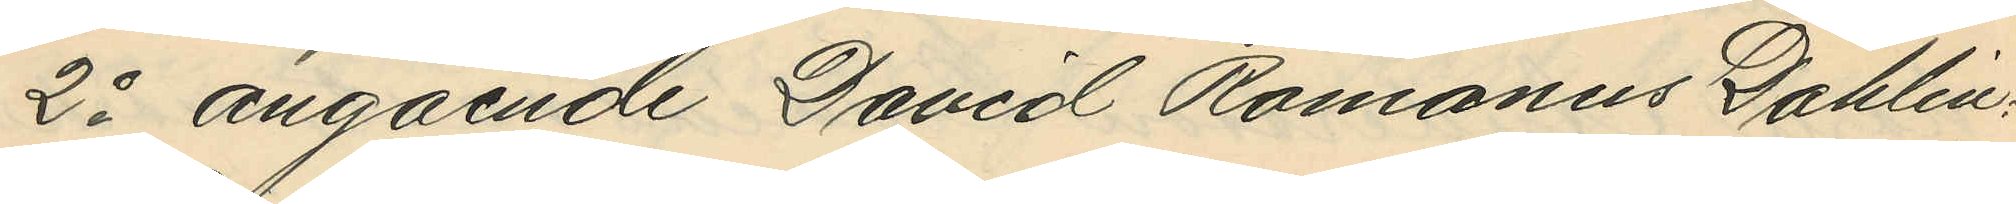2o angående David Romanus Dahlin:
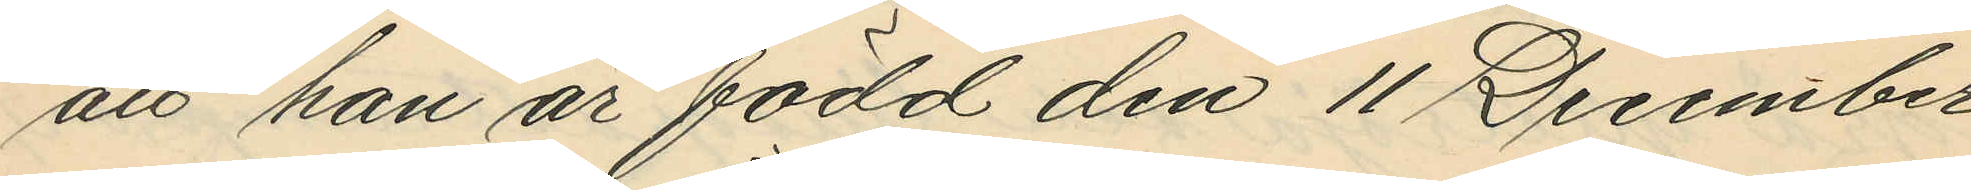att han är född den 11 December
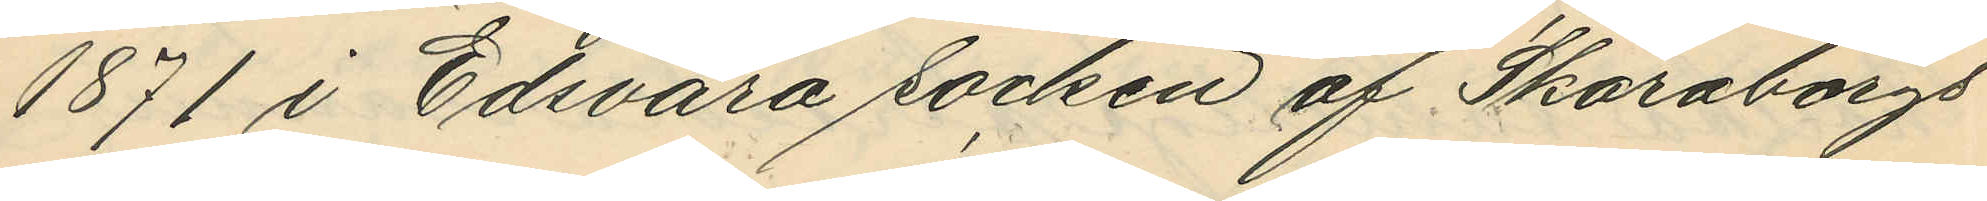1871 i Edsvära socken af Skaraborgs
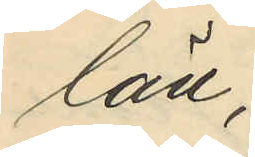län;
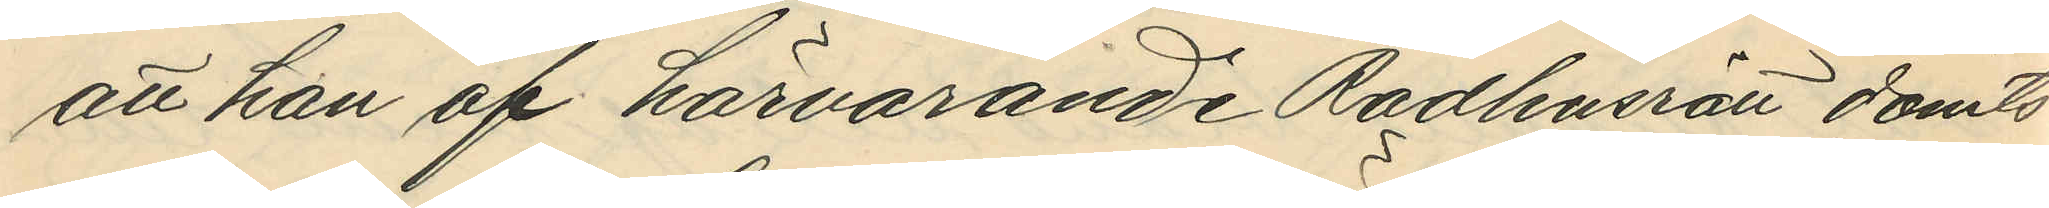att han af härvarande Radhusrätt dömts
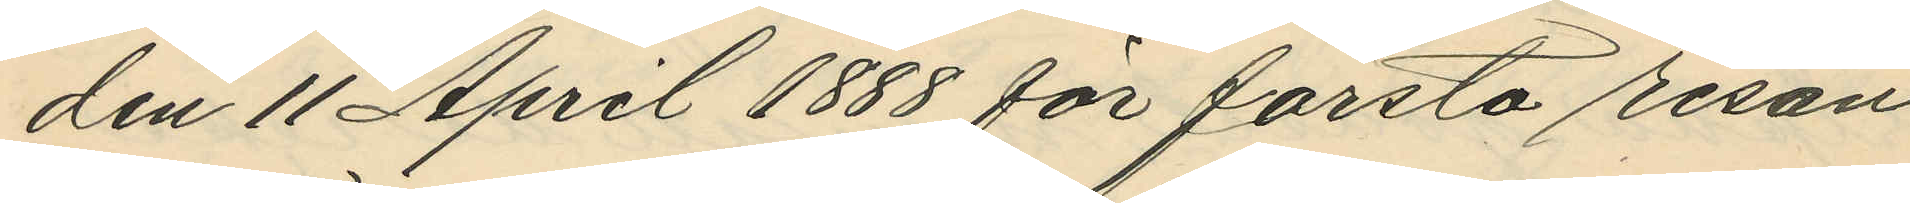den 11 April 1888 för första resan
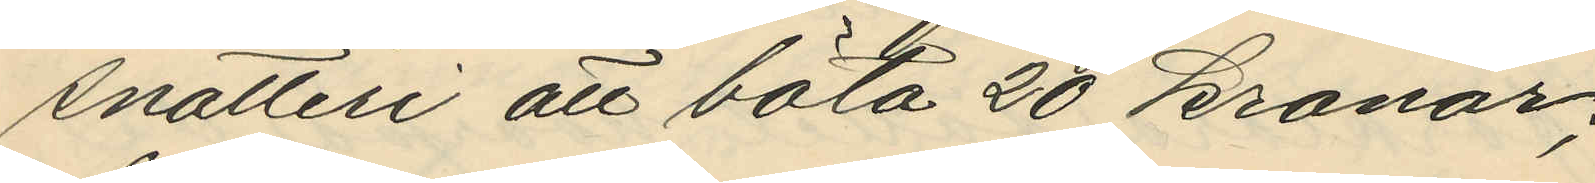snatteri att böta 20 kronor;
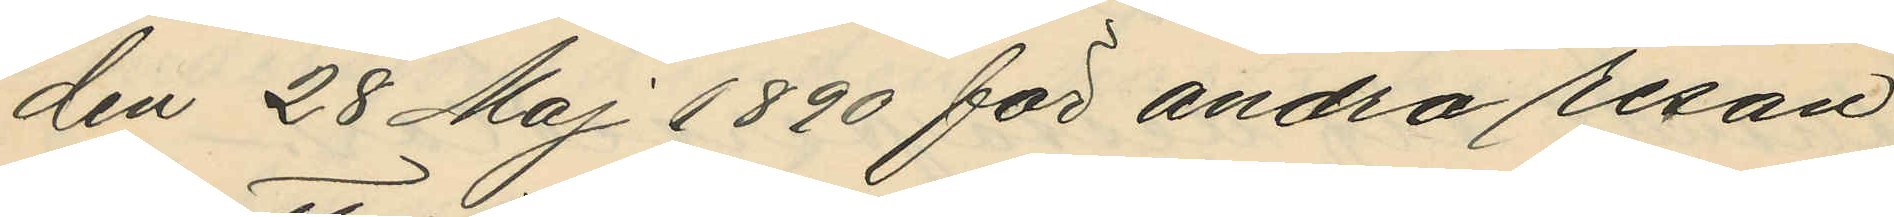den 28 Maj 1890 för andra resan
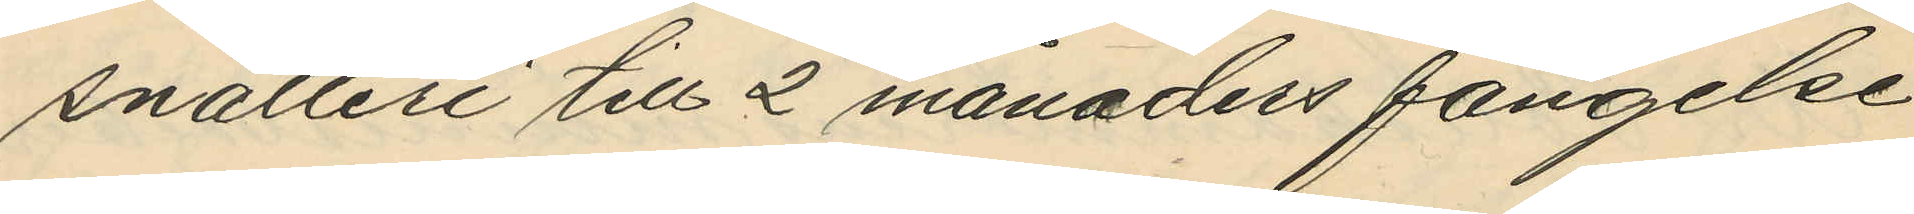snatteri till 2 månaders fängelse
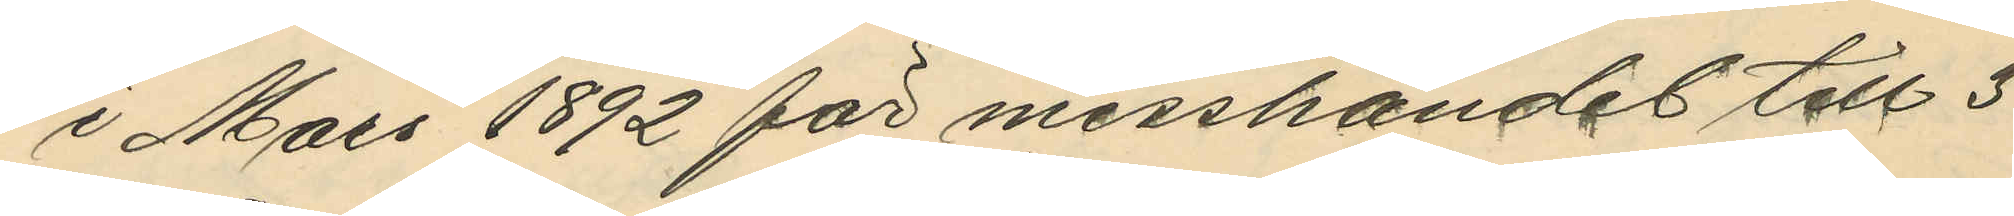i Mars 1892 för misshandel till 3
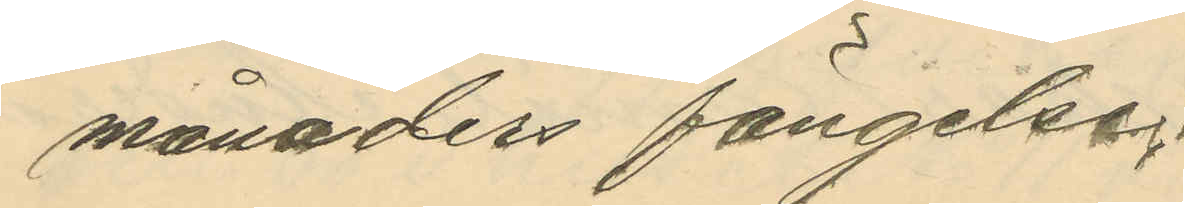månaders fängelse;
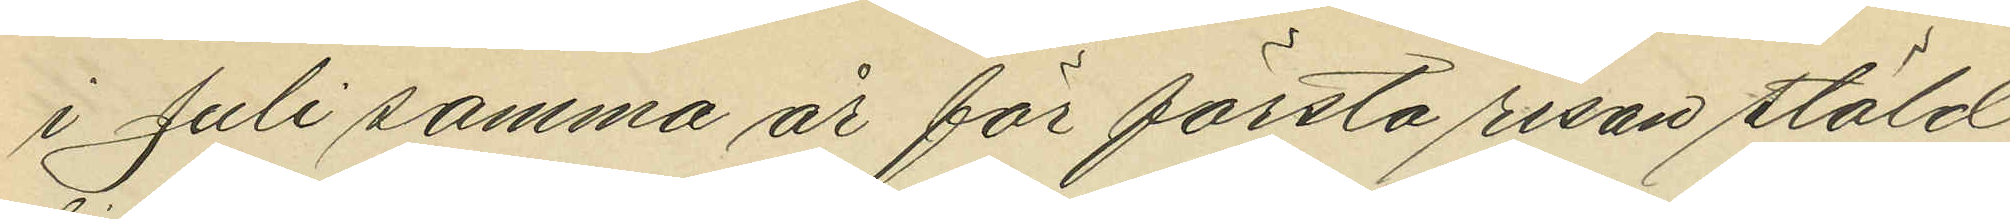i Juli samma år för första resan stöld
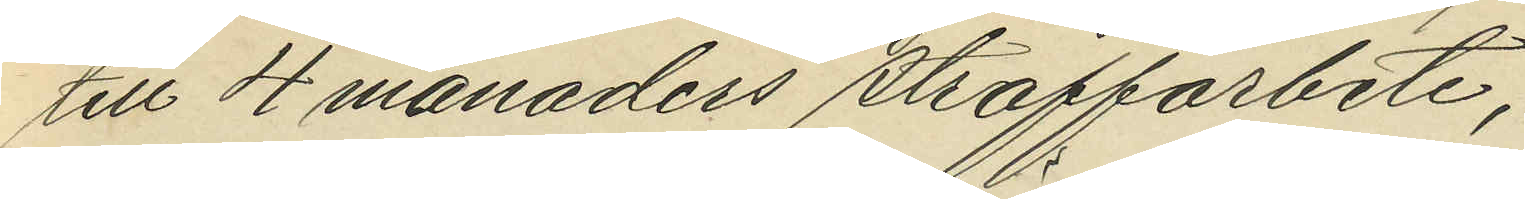till 4 månaders straffarbete;
